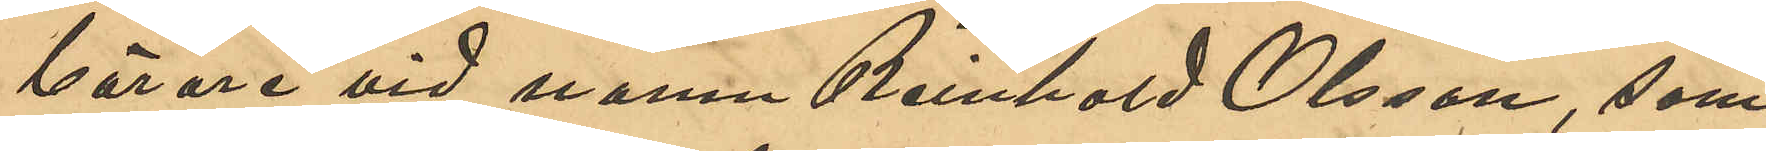bärare vid namn Reinhold Olsson, som
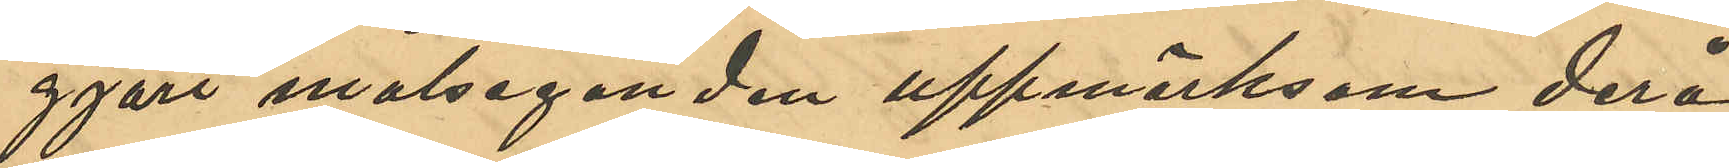gjort målseganden uppmärksam derå
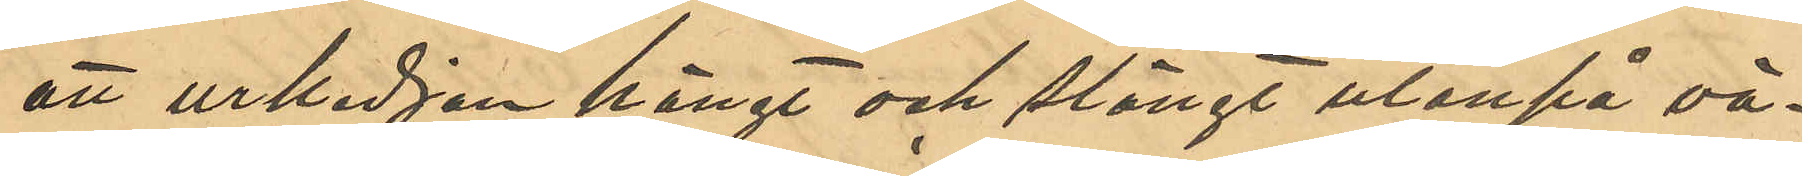att urkedjan hängt och slängt utanpå vä¬
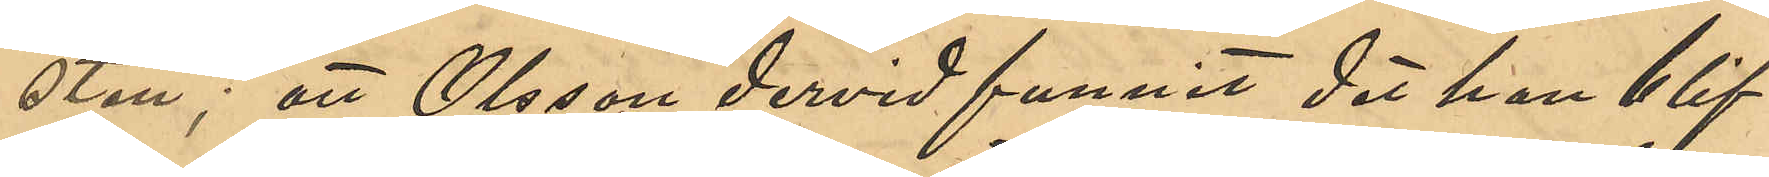sten; att Olsson dervid funnit det han blif¬
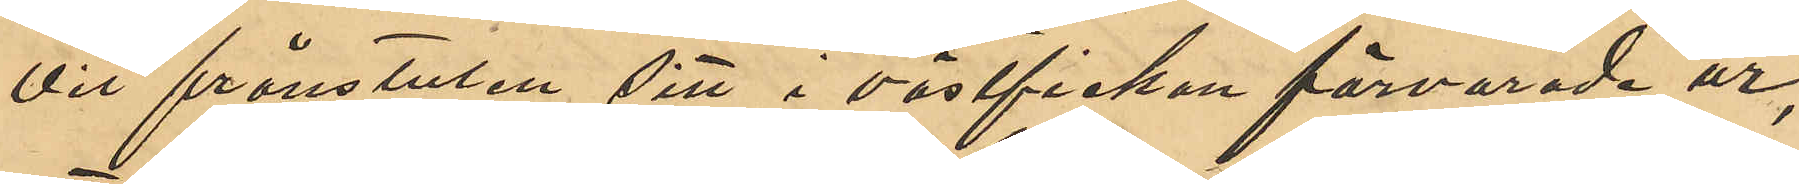vit frånstulen sitt i västfickan förvarade ur;
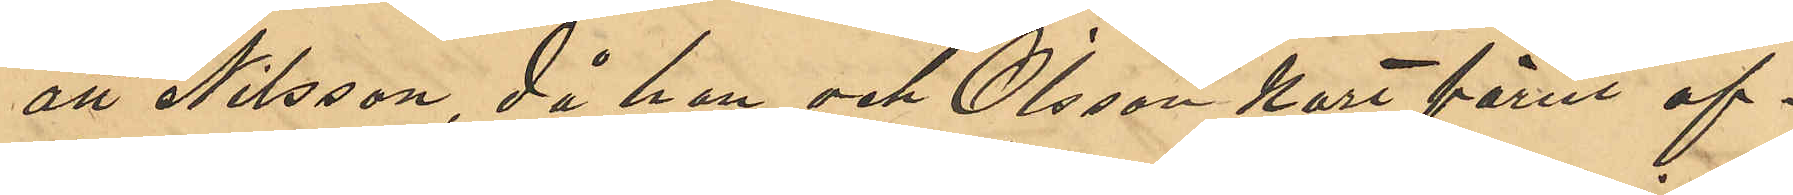att Nilsson, då han och Olsson kort förut af¬
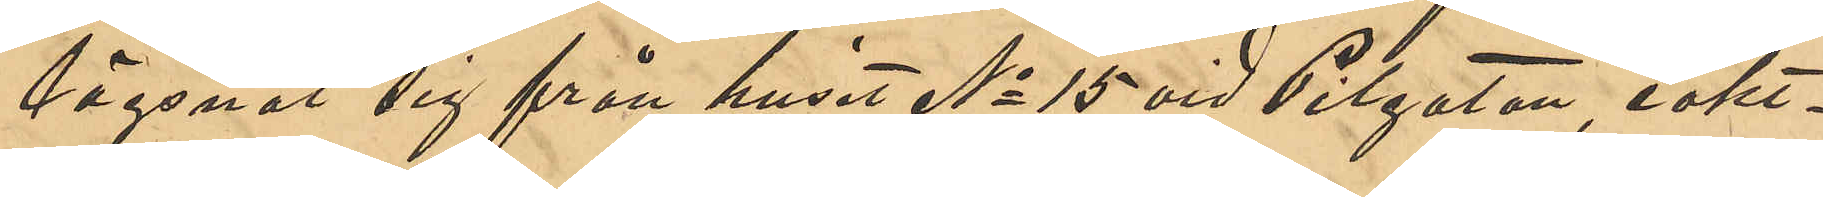lägsnat sig från huset No 15 vid Pilgatan, iakt¬
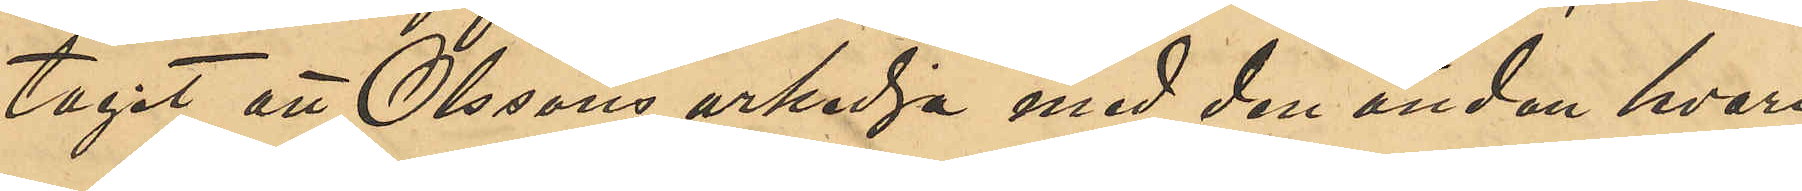tagit att Olssons urkedja med den änden hvari
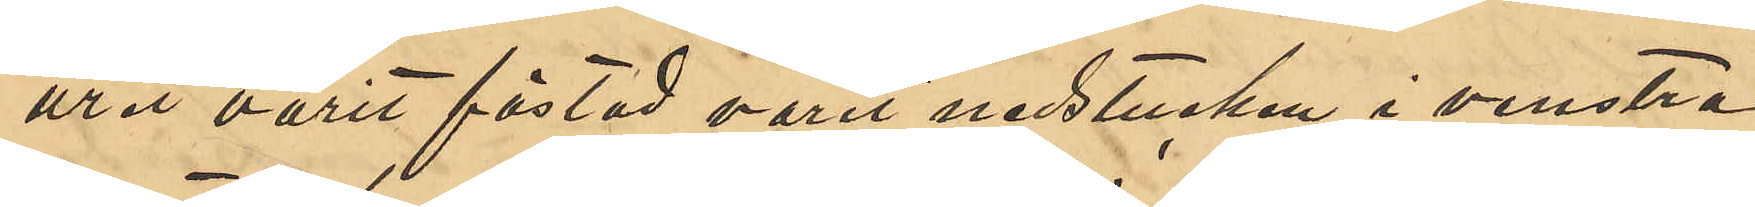uret varit fästad varit nedstucken i venstra
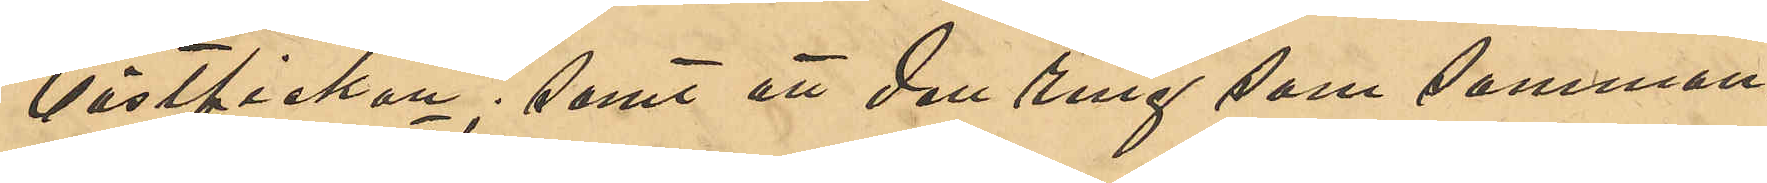västfickan; samt att den ring som samman¬
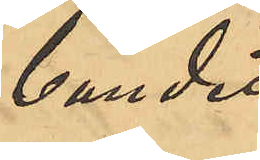bundit 
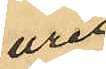uret
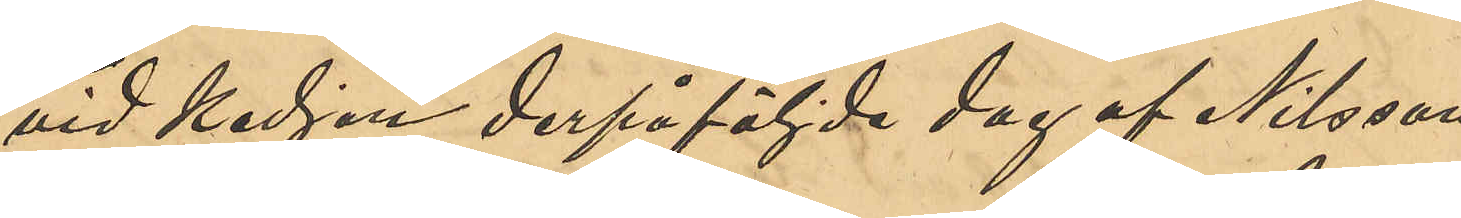vid kedjan derpåföljde dag af Nilsson,
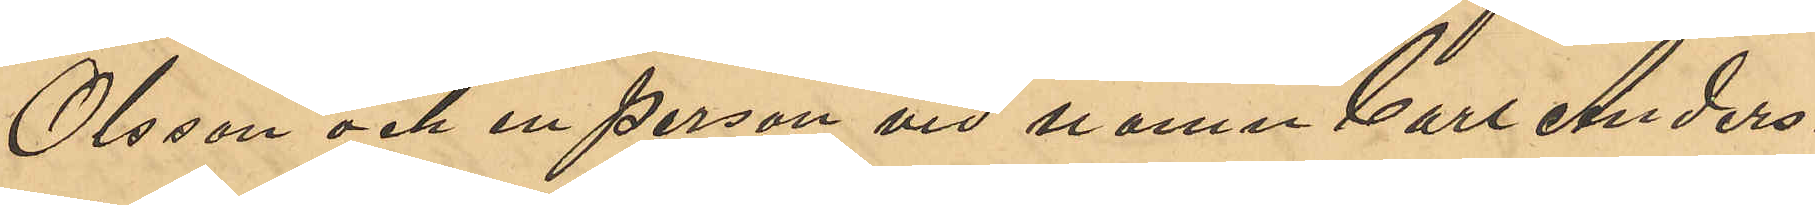Olsson och en person vid namn Carl Anders¬
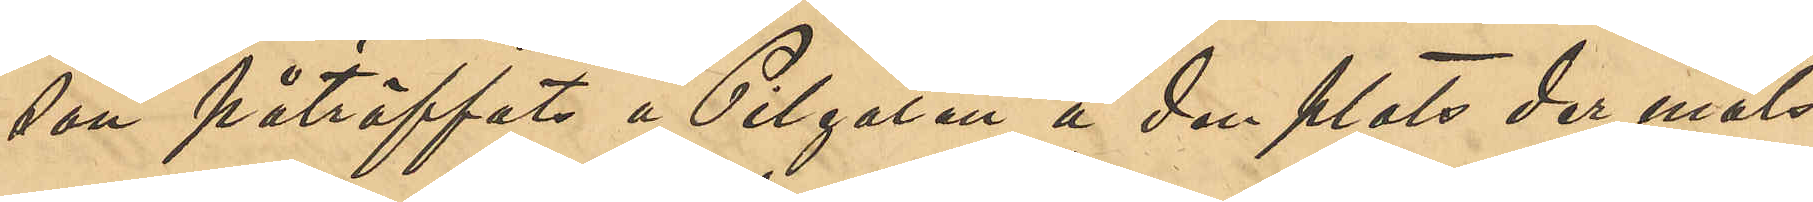son påträffats å Pilgatan å den plats der måls¬
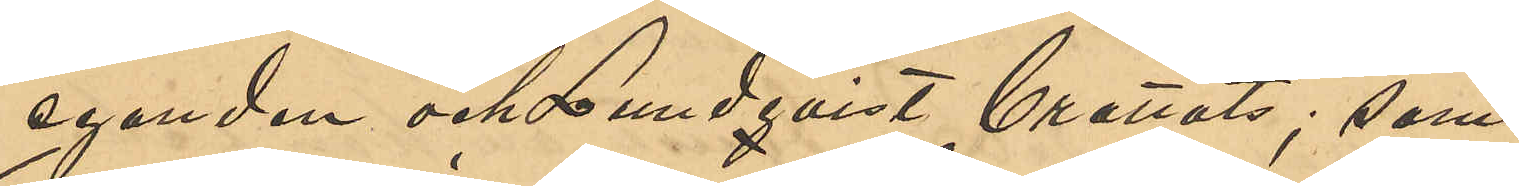eganden och Lundqvist brottats; samt
